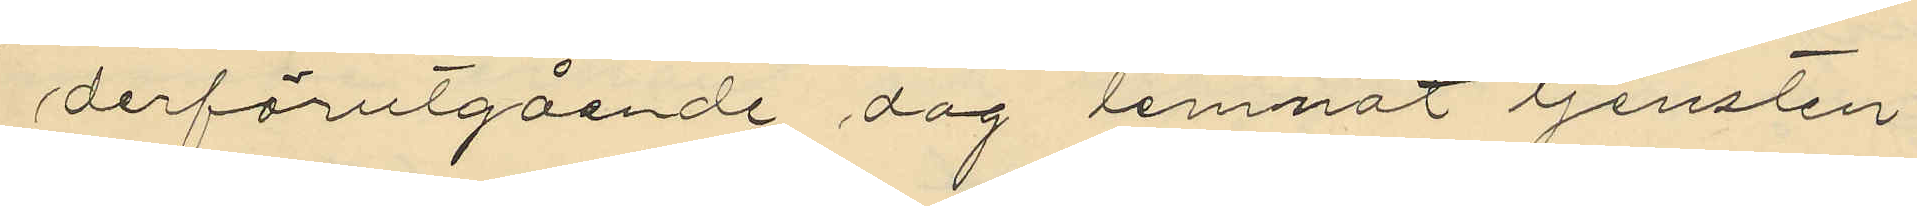derförutgående dag lemnat tjensten.
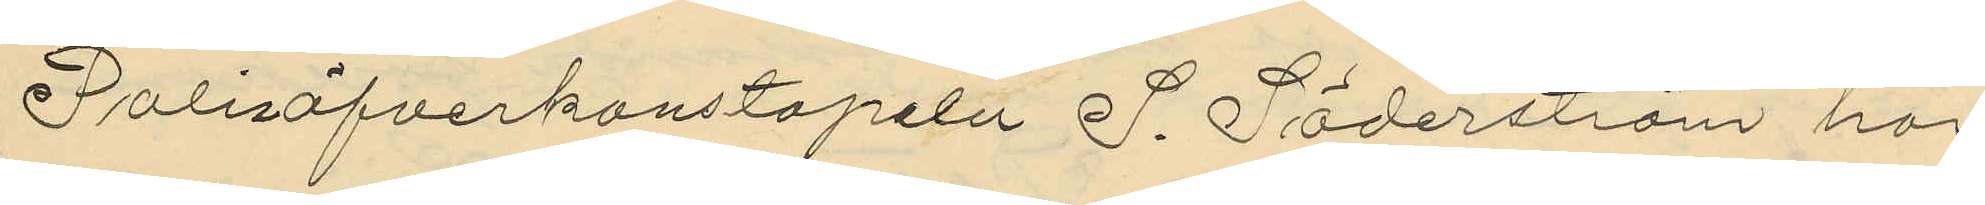Polisöfverkonstapeln S. Söderström har
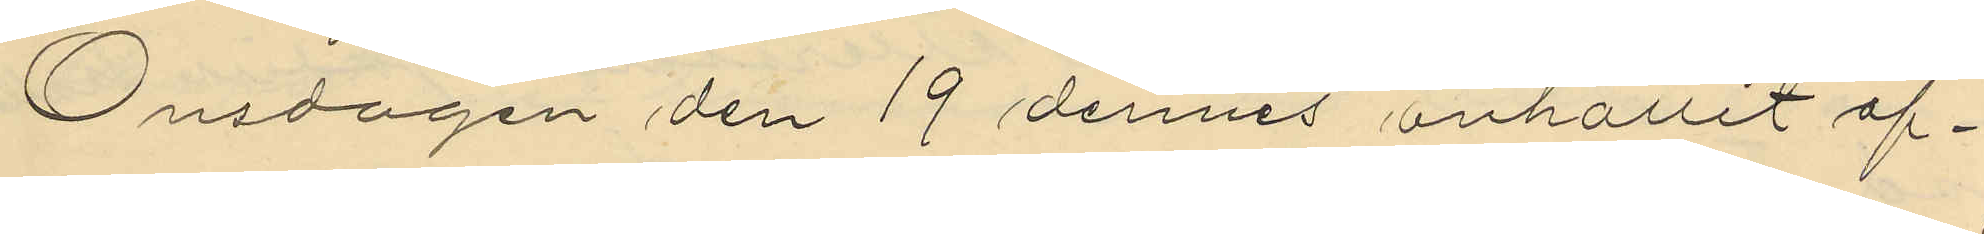Onsdagen den 19 dennes anhållit öf¬
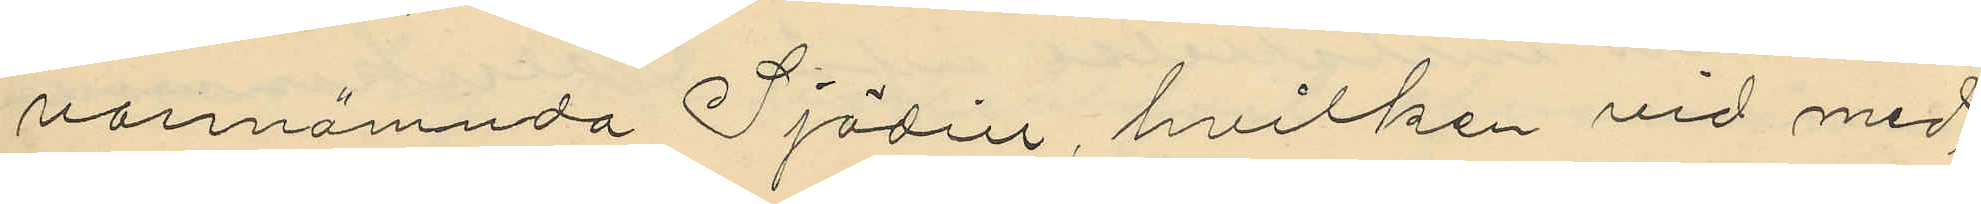vannämnda Sjödin, hvilken vid med
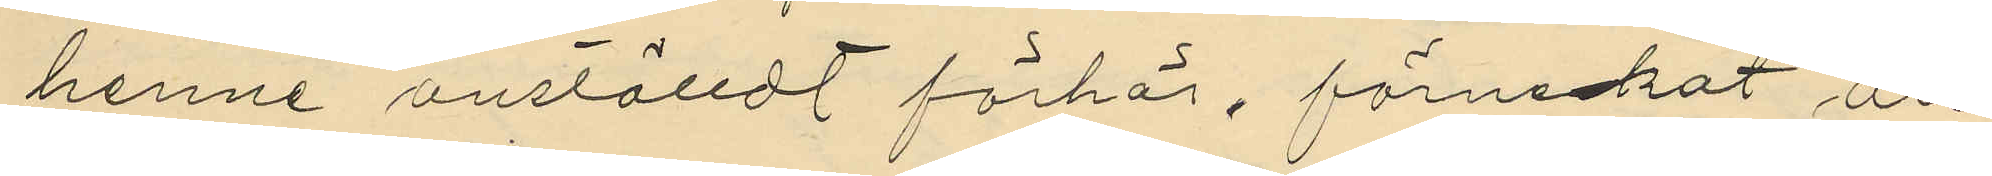henne anställdt förhör, förnekat all
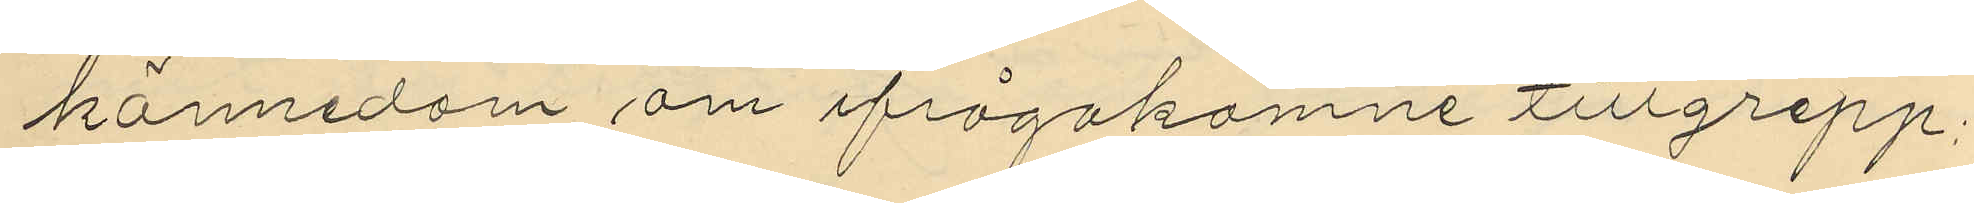kännedom om ifrågakomne tillgrepp;
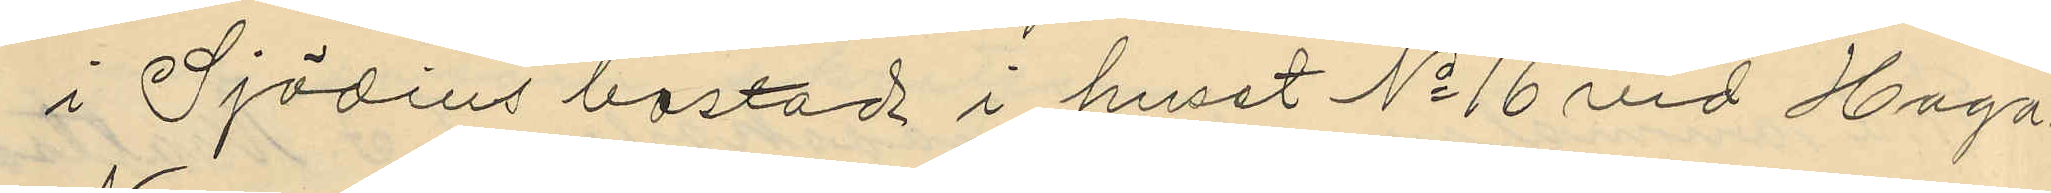i Sjödins bostad i huset No 16 vid Haga
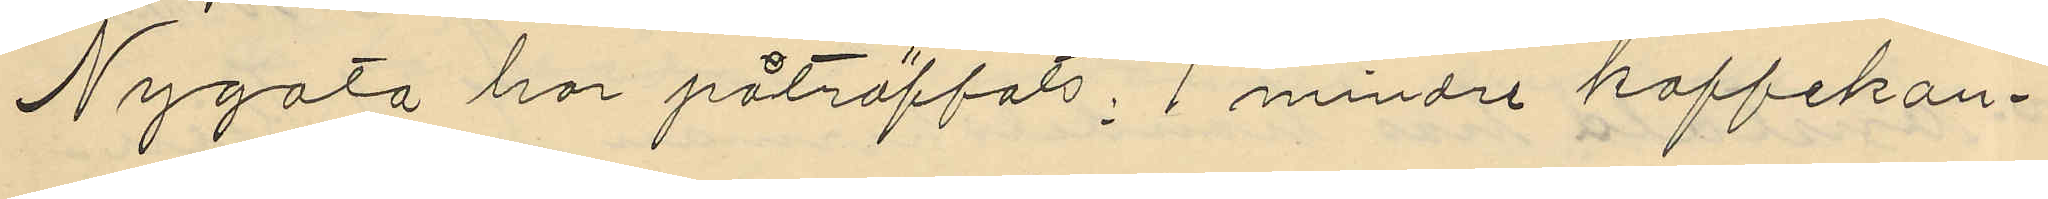Nygata har påträffats; 1 mindre kaffekan¬
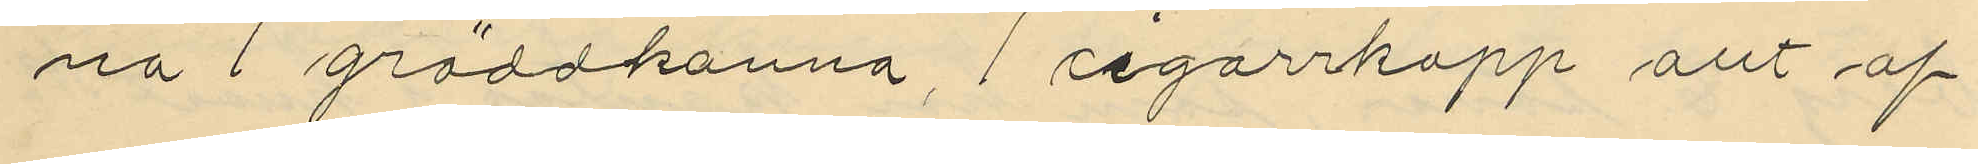na 1 gräddkanna, 1 cigarrkopp allt af
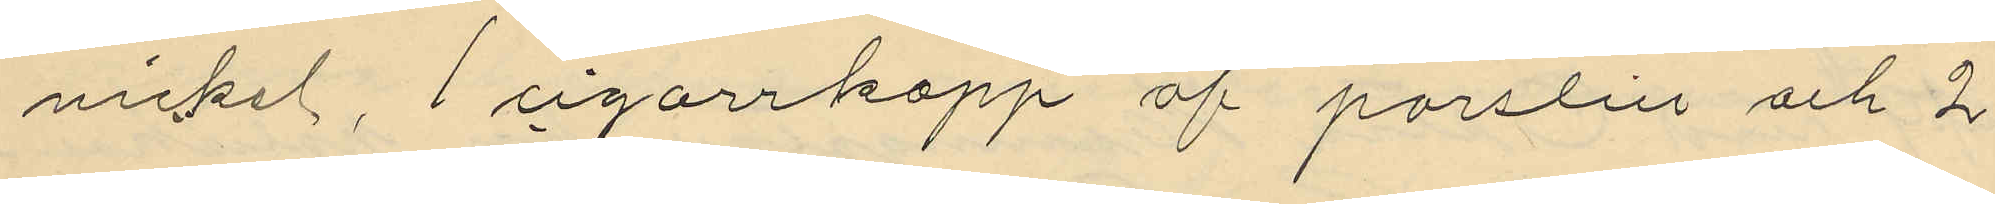nickel, 1 cigarrkopp af porslin och 2
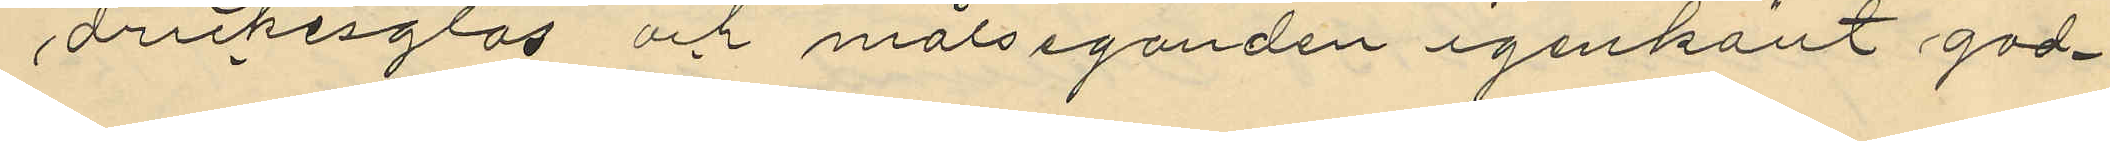drickesglas och målseganden igenkänt god¬
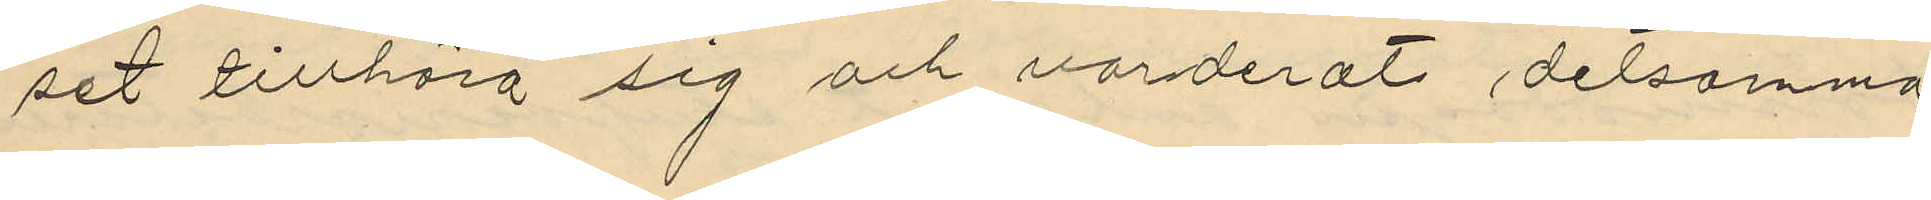set tillhöra sig och värderat detsamma
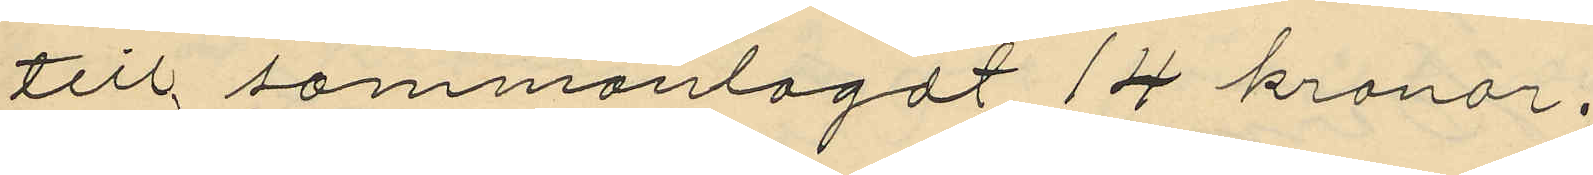till sammanlagdt 14 kronor.
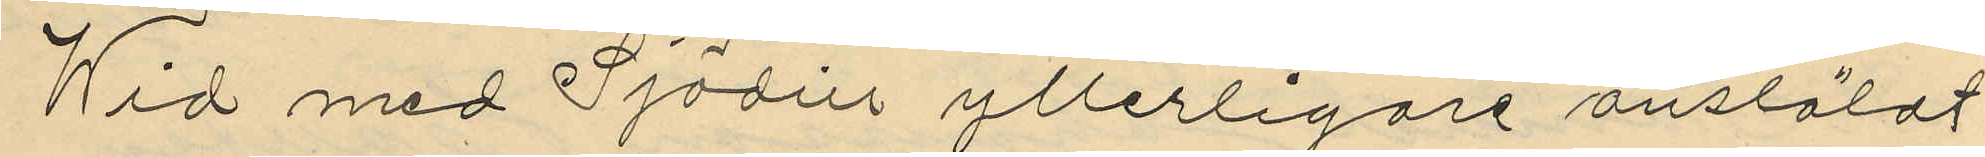Wid med Sjödins ytterligare anstäldt
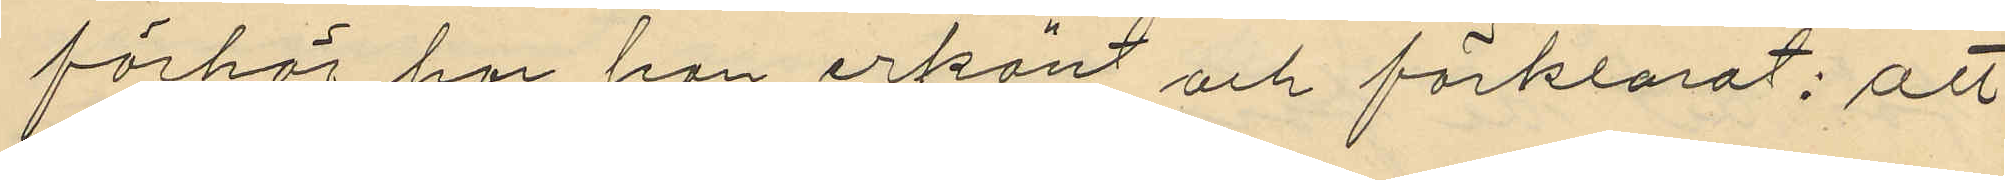förhör har hon erkänt och förklarat: att
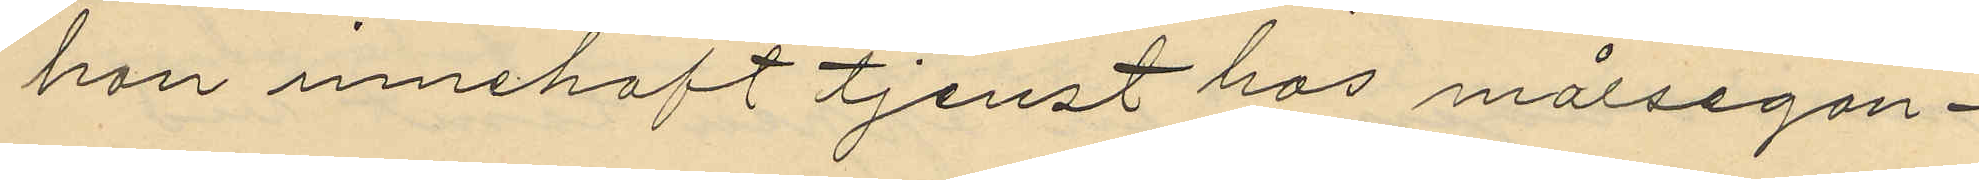hon innehaft tjenst hos målsegan¬
